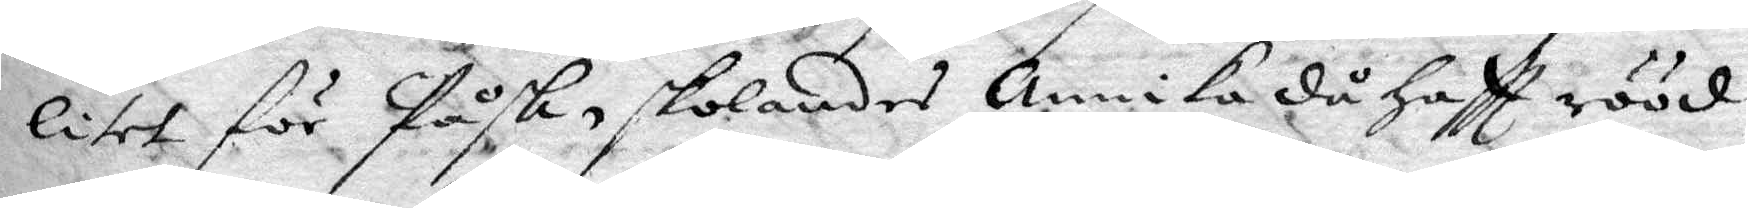litet för Påsk, skolandes Annika då haftt rööd
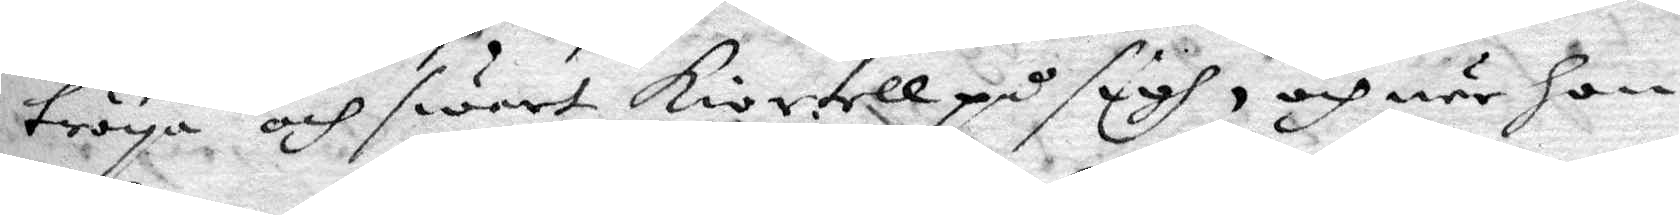tröya och swart kiortell på sigh, och när hon
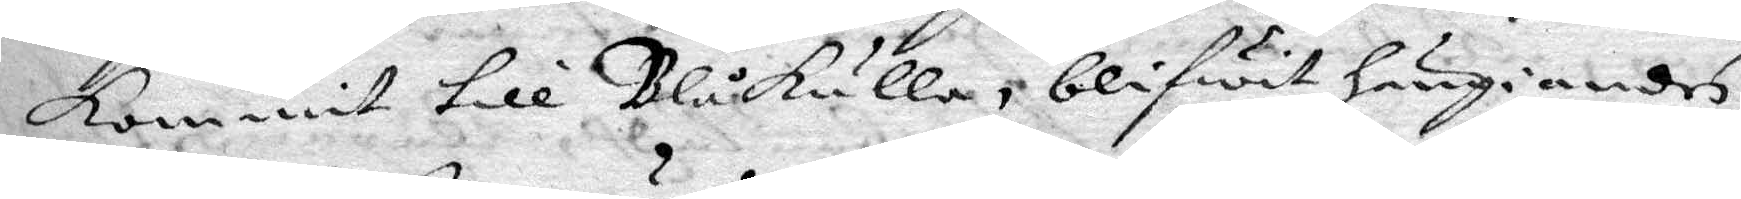kommit till Blåkulla, blifwit hängiandes
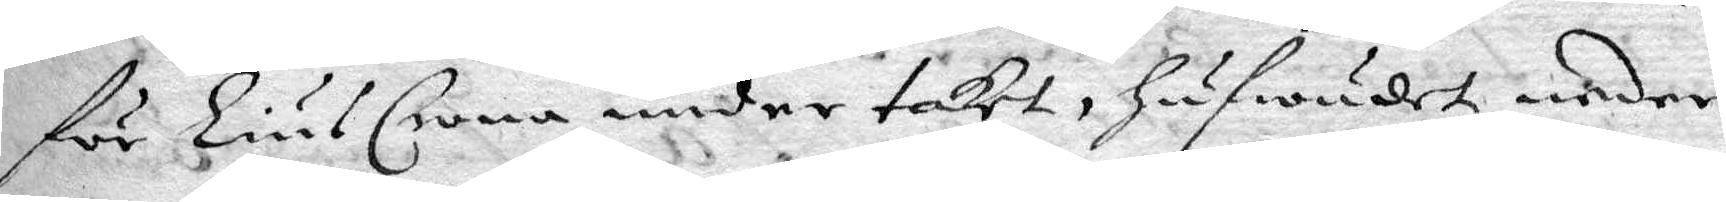för LiusCrona under taket, hufwudet neder
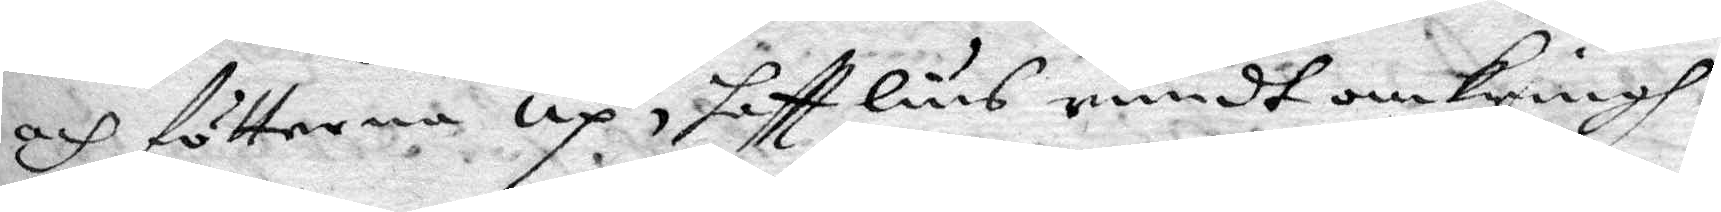och fötterna up, haftt lius rundt omkringh
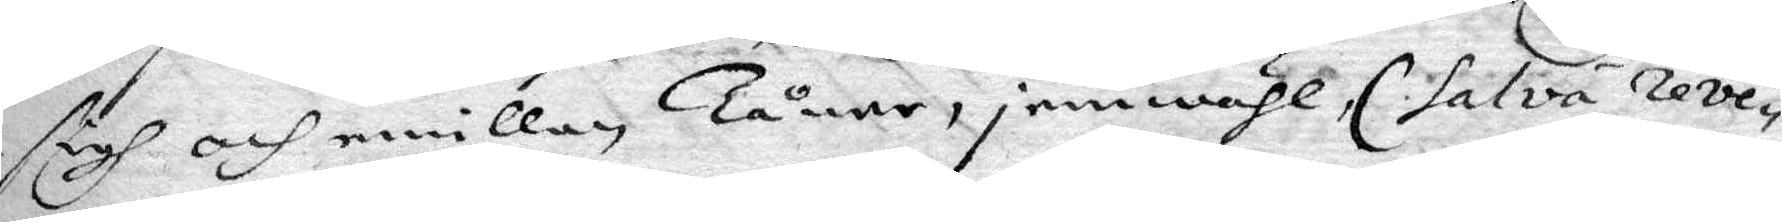sigh och emillan Tårne, jemwähl, (salva reve¬
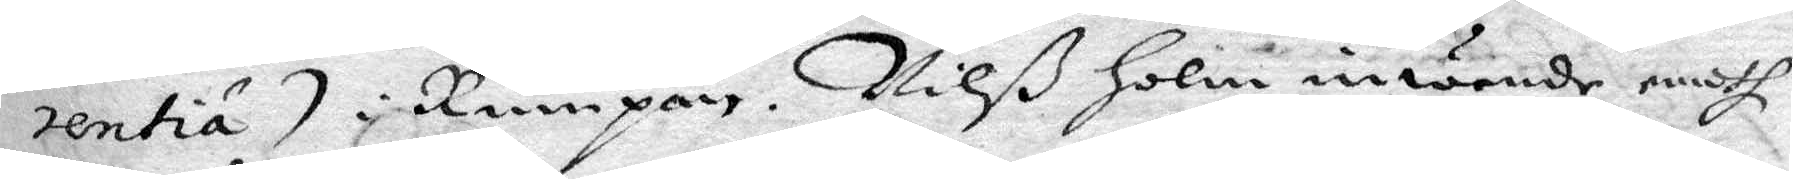rentia) i Rumpan. Nilß holm inwände emoth
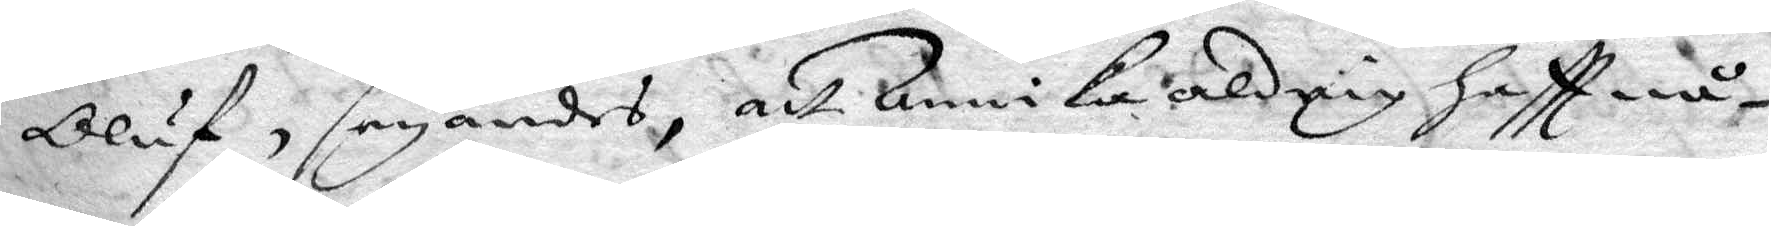Olud, seyandes, att Annika aldrig haftt nå¬
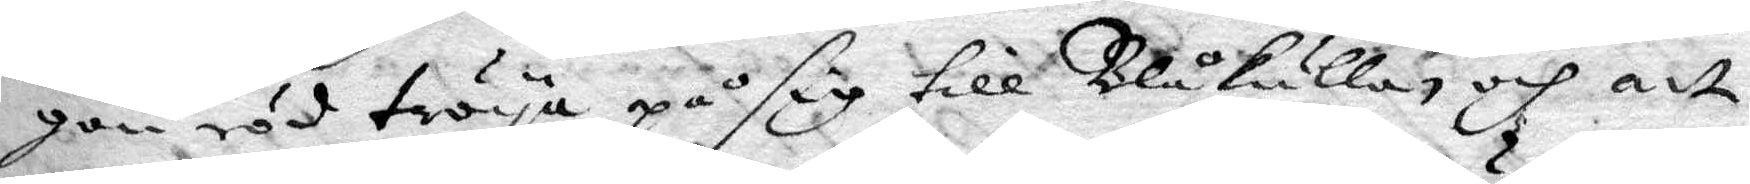gon röd tröya på sig till Blåkulla, och att
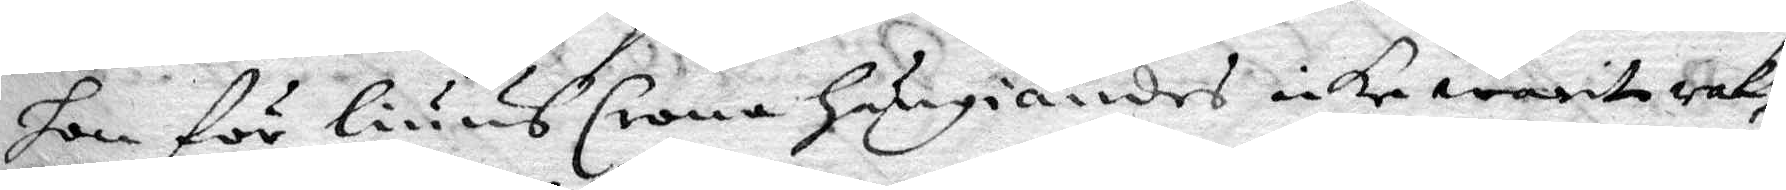hon för liuusrona hängiandes icke warit rak,
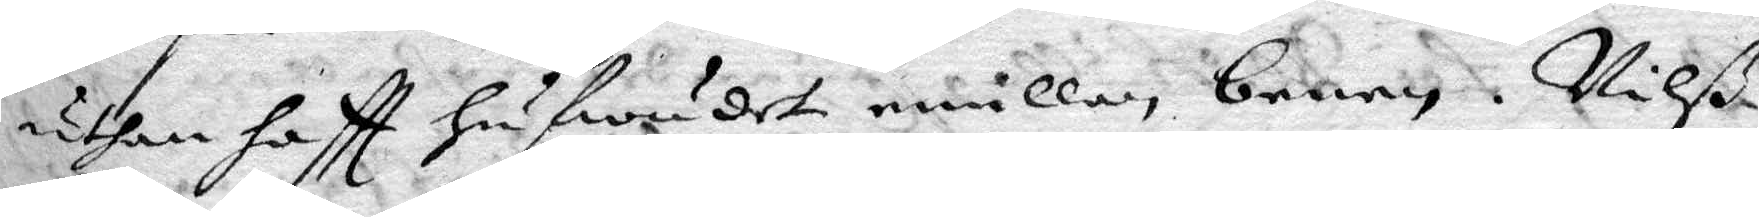uthan haftt hufwudet emillan benen. Nilß
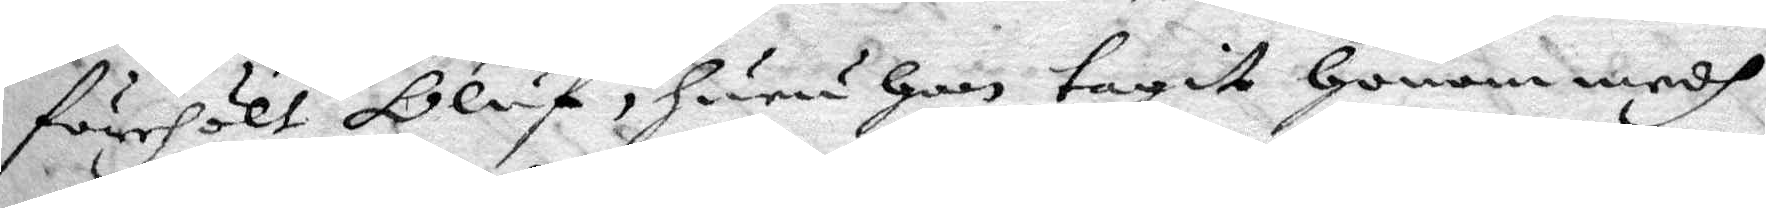förehölt Oluf, huru han tagit honom medh
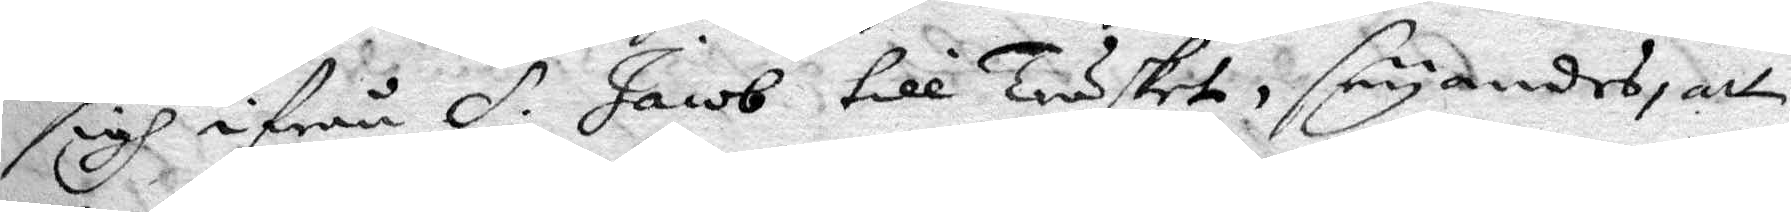sigh ifrån S. Jacob till träsket, seyandes, att
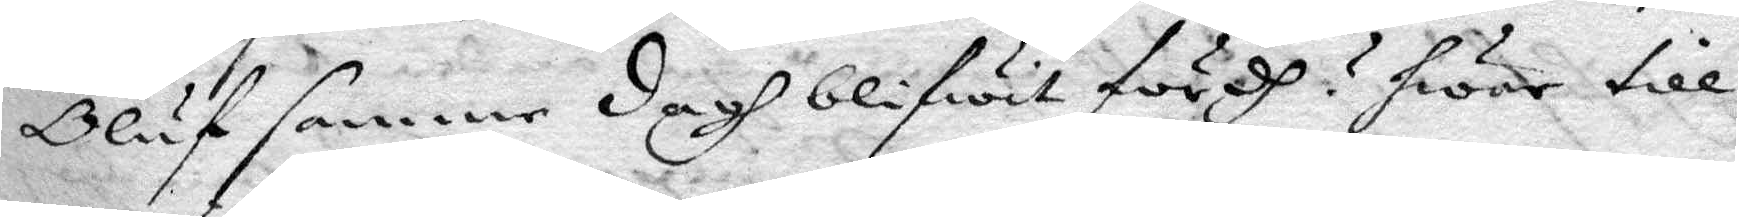Oluf samme dagh blifwit fördh? hwar till
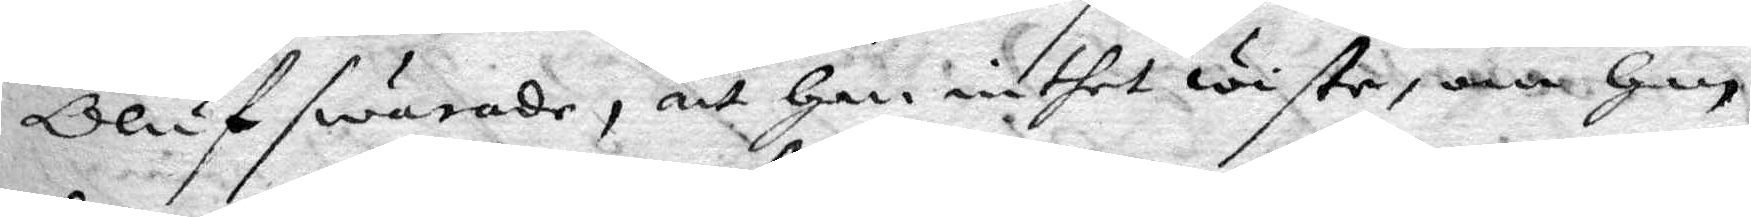Oluf swarade, att han inthet wiste, om jan
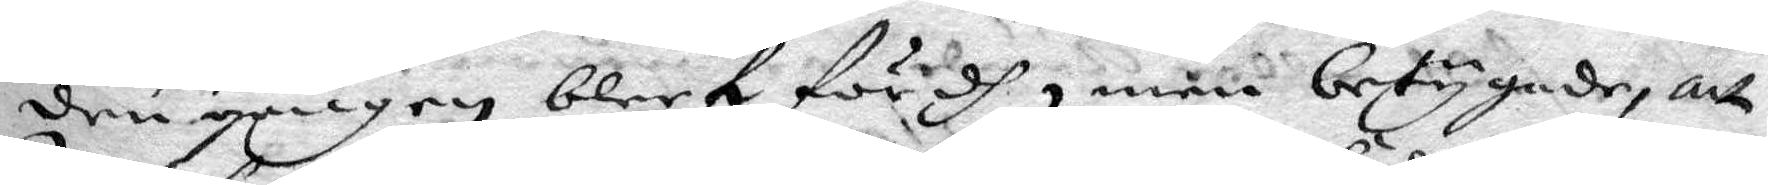den gången bleef fördh, men betygade, att
